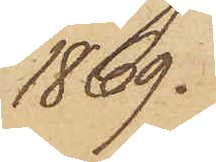1869.
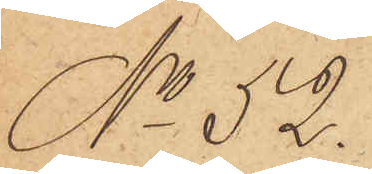No 52.
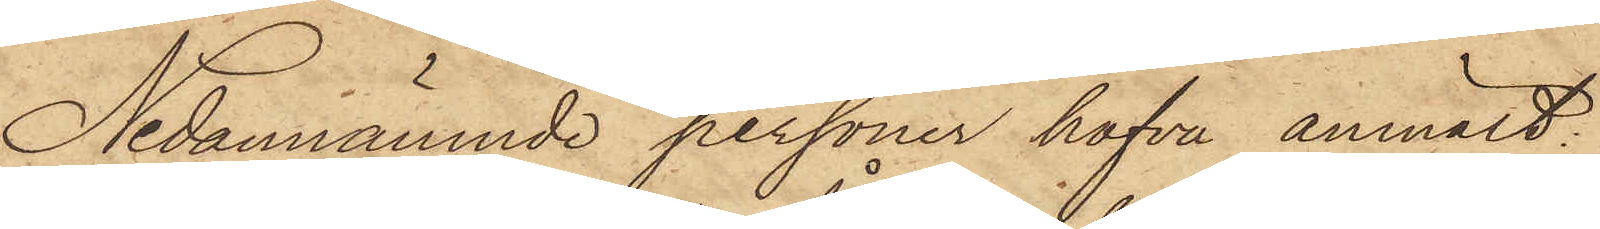Nedannämnde personer hafva anmält:
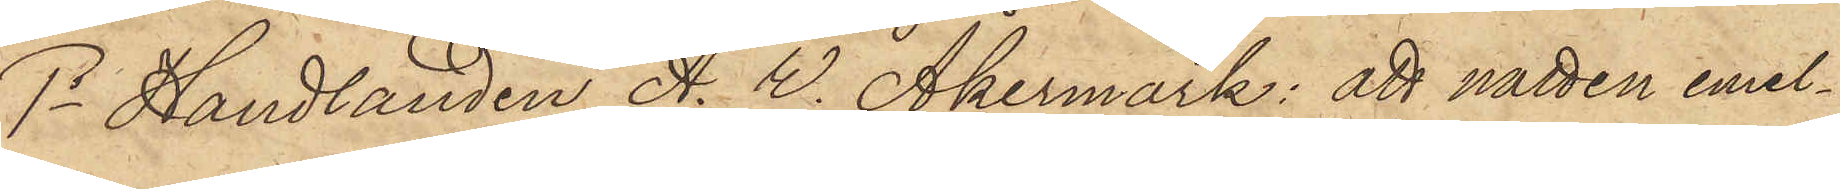1o Handlanden A. W. Åkermark: att natten emel¬
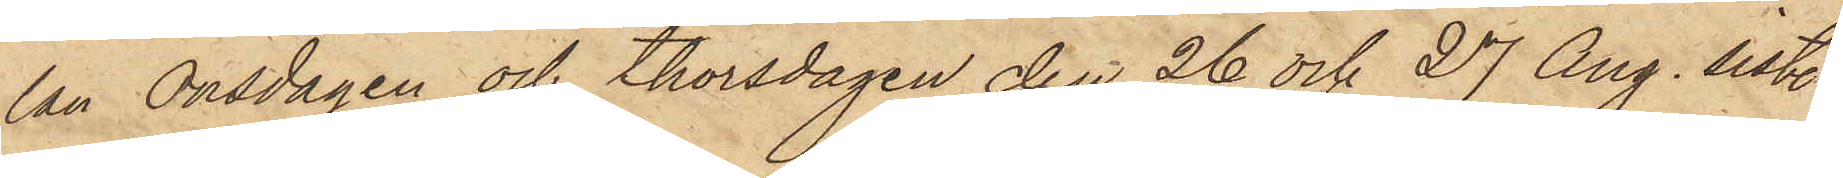lan Onsdagen och Thorsdagen den 26 och 27 Aug. sist.
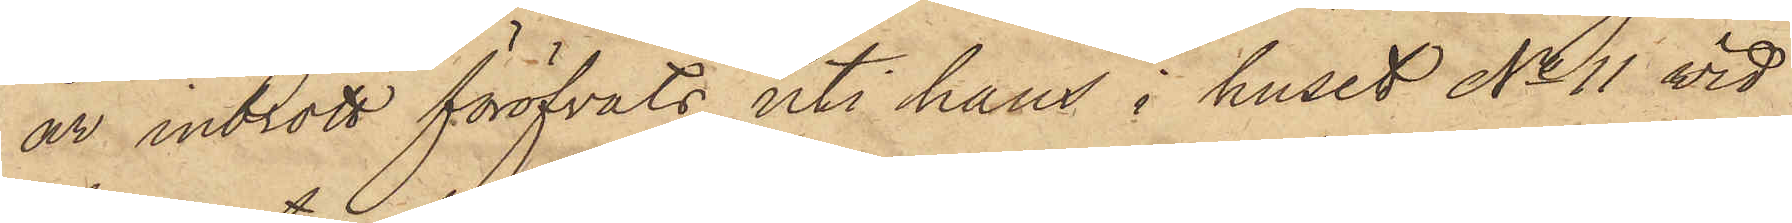år inbrott föröfvats uti hans i huset No 11 vid
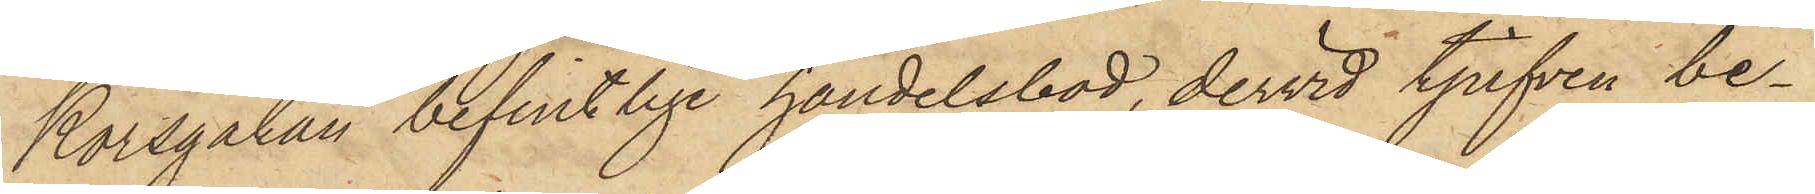Korsgatan befintlige handelsbod, dervid tjufven be¬
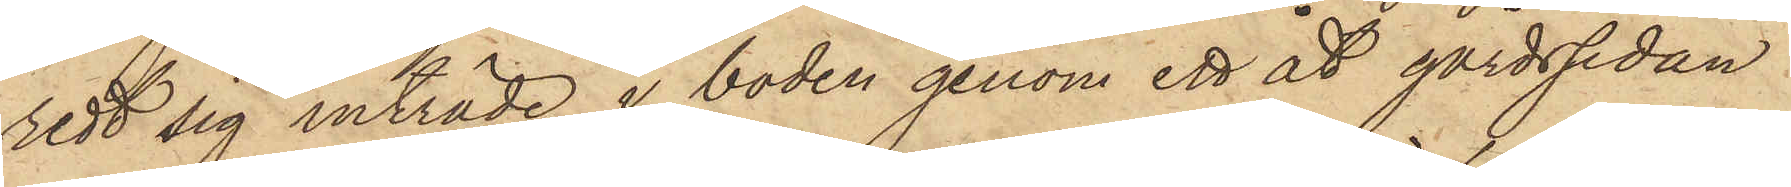redt sig inträde i boden genom ett åt gårdssidan
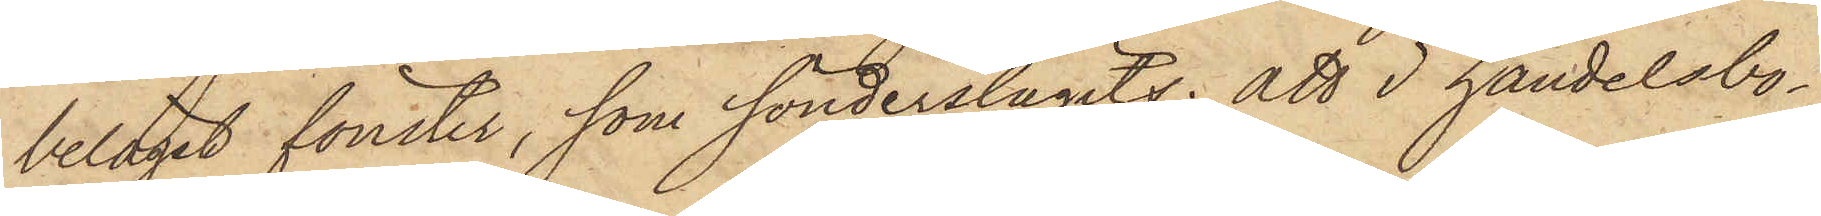beläget fönster, som sönderslagits; att i handelsbo¬
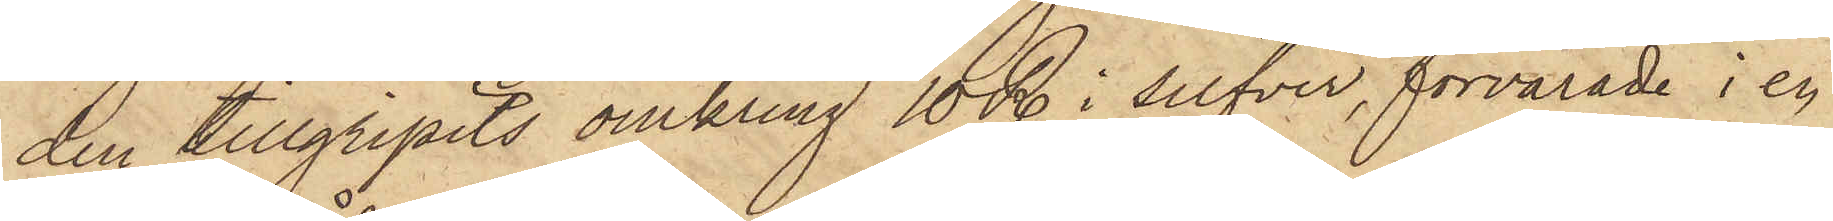den tillgripits omkring 10 R. i silfver, förvarade i en
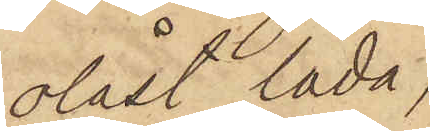olåst låda;
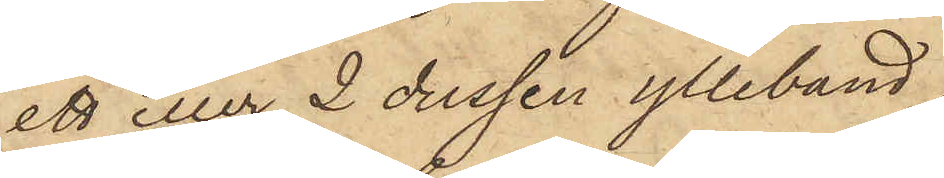ett eller 2 dussin ylleband
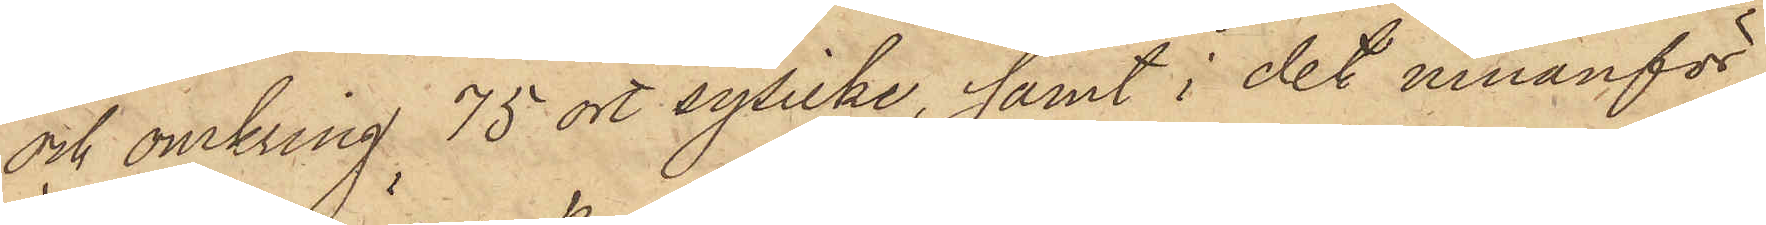och omkring 75 ort sysilke, samt i det innanför
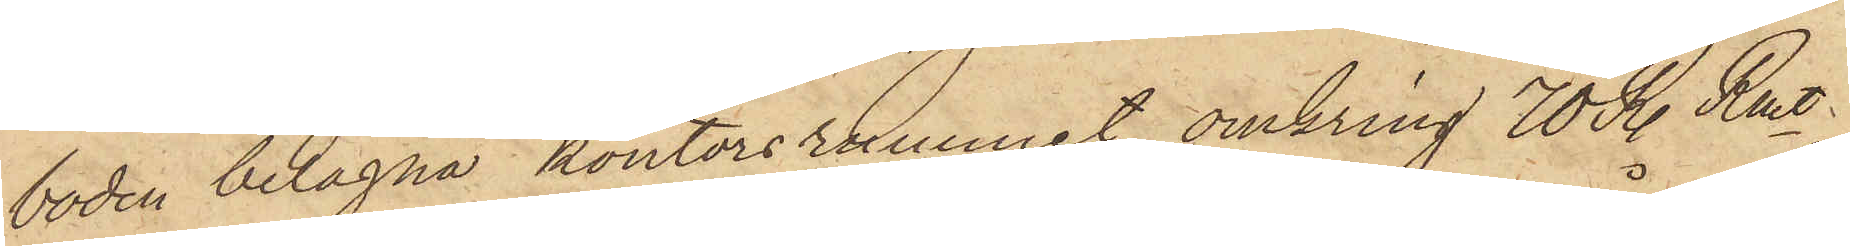boden belägna kontorsrummet omkring 70 R. Rmt,
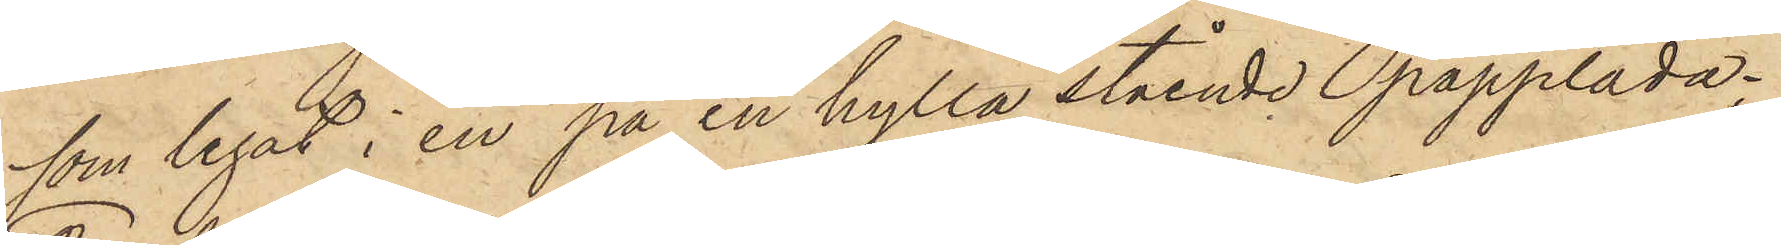som legat i en på en hylla stående papplåda.
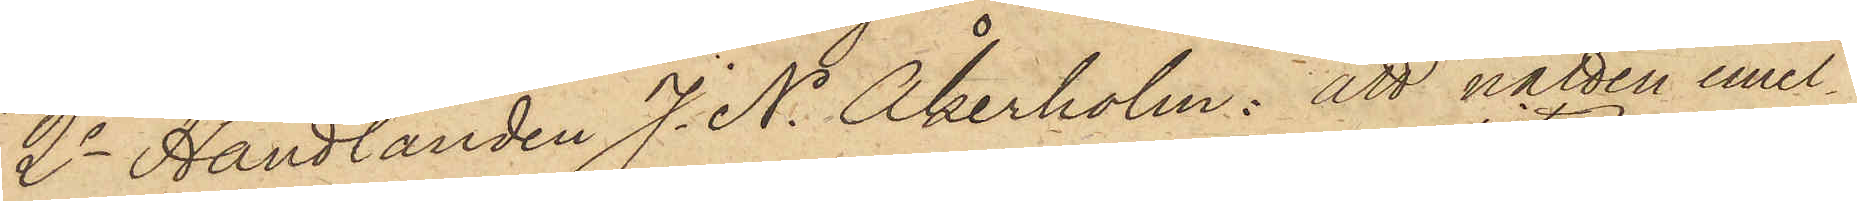2o Handlanden J. N. Åkerholm: att natten emel¬
